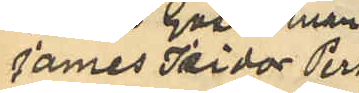James Isidor Pers¬
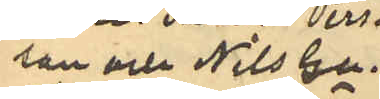son och Nils Gu¬
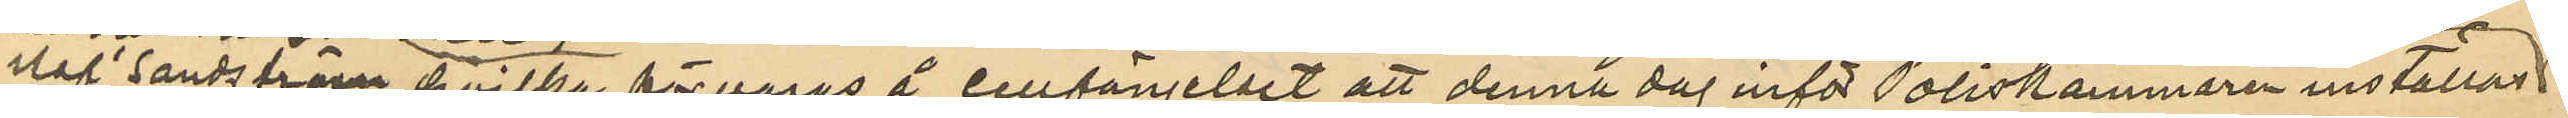staf Sandström, hvilka förvaras å cellfängelset att denna dag inför Poliskammaren inställas
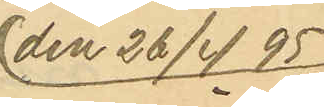den 26/4 95
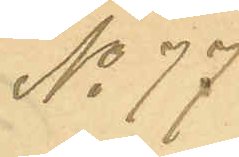No 77.
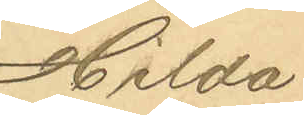Hilda
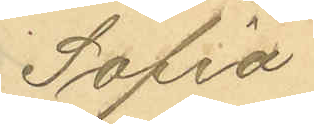Sofia
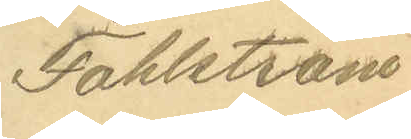Fahlström
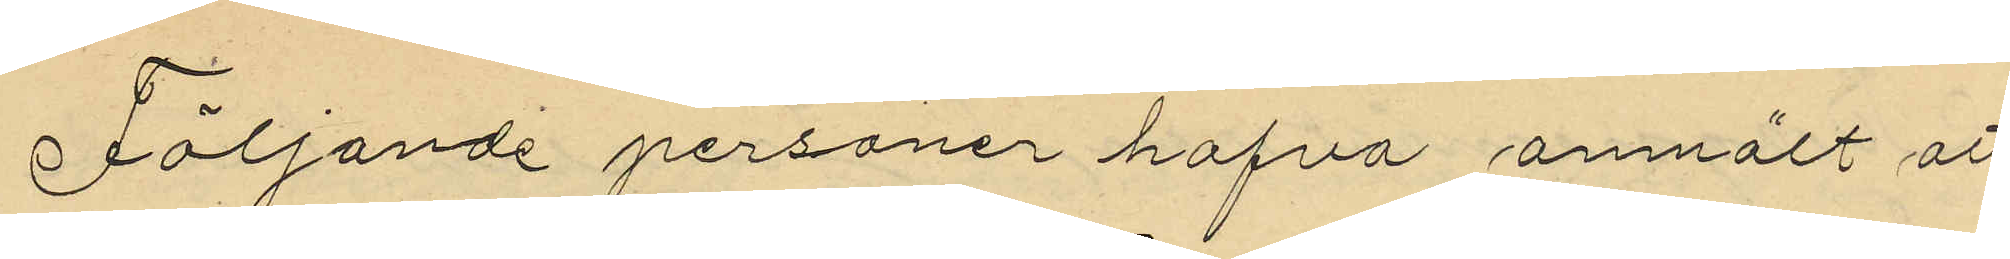Följande personer hafva anmält att
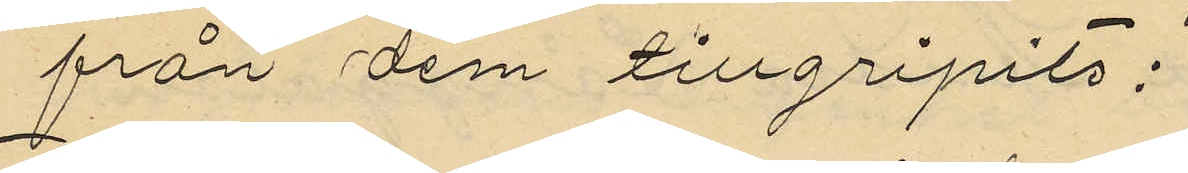från dem tillgripits:
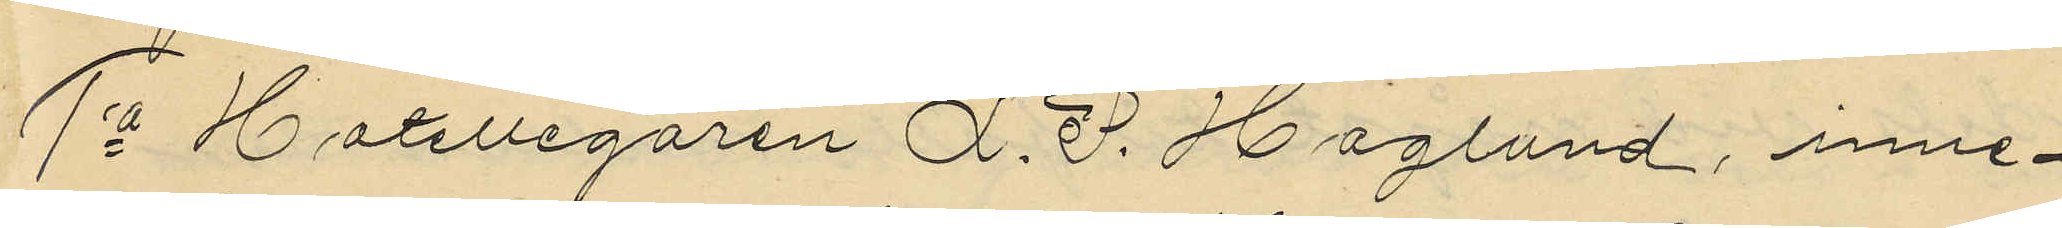1o Hotellegaren L. P. Haglund, inne¬
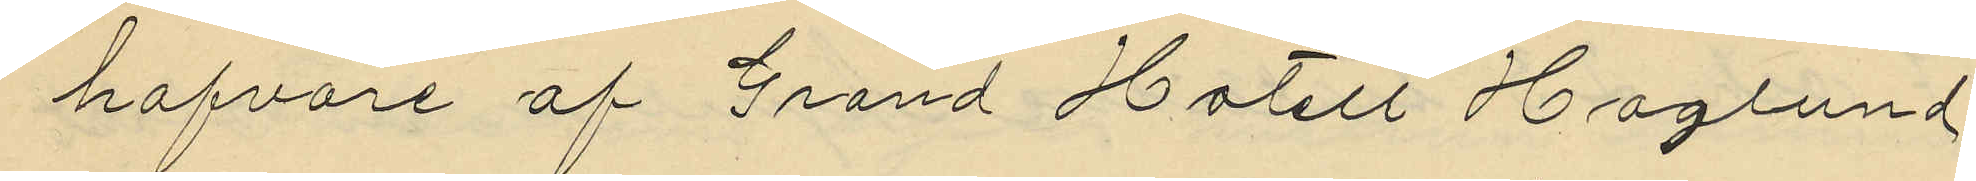hafvare af Grand Hotell Haglund
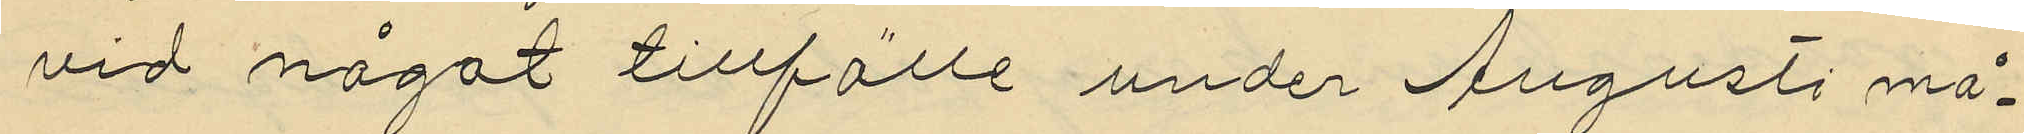vid något tillfälle under Augusti må¬
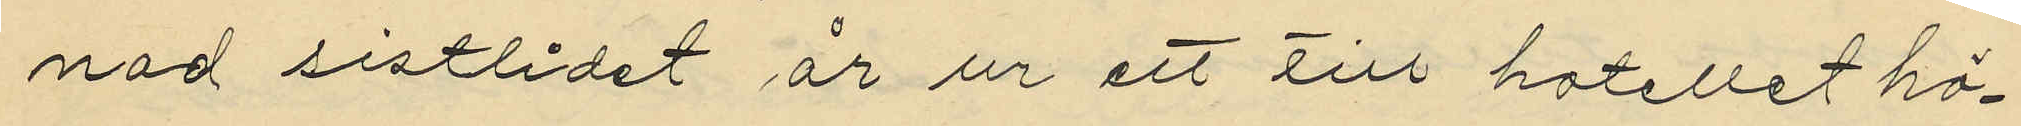nad sistlidet år ur ett till hotellet hö¬
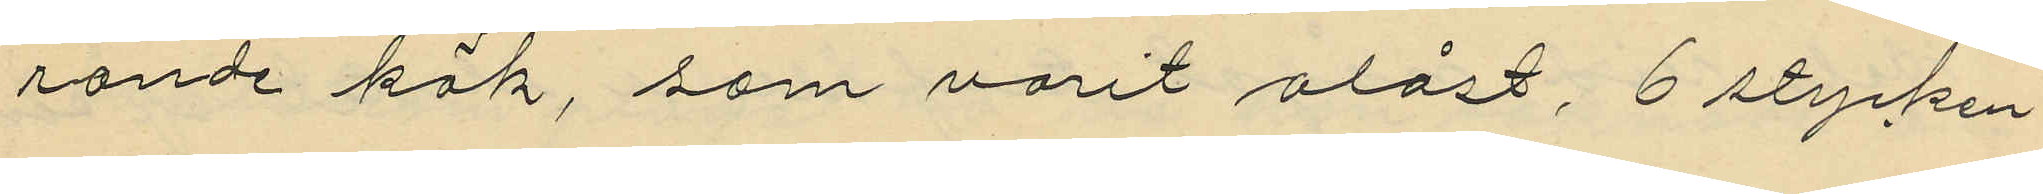rande kök, som varit olåst, 6 stycken
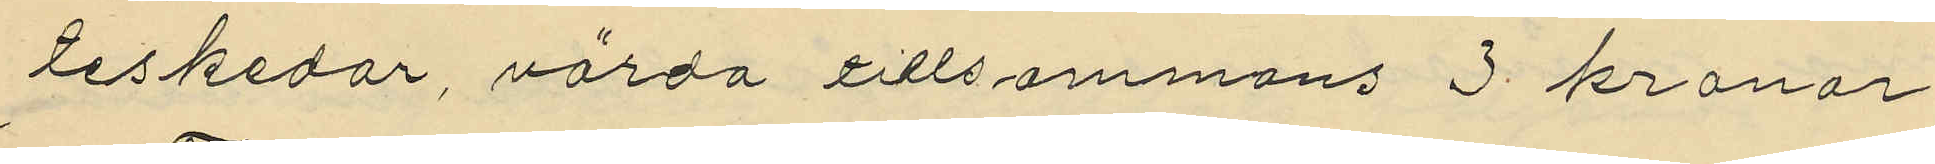teskedar, värda tillsammans 3 kronor
